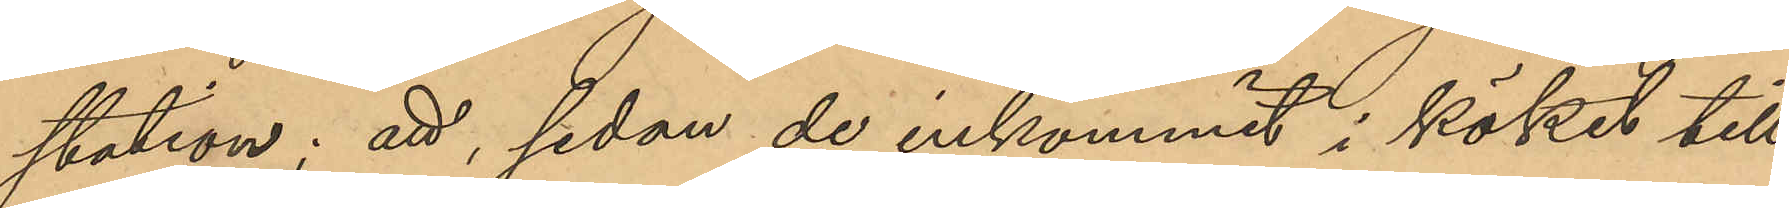station; att sedan de inkommit i köket till
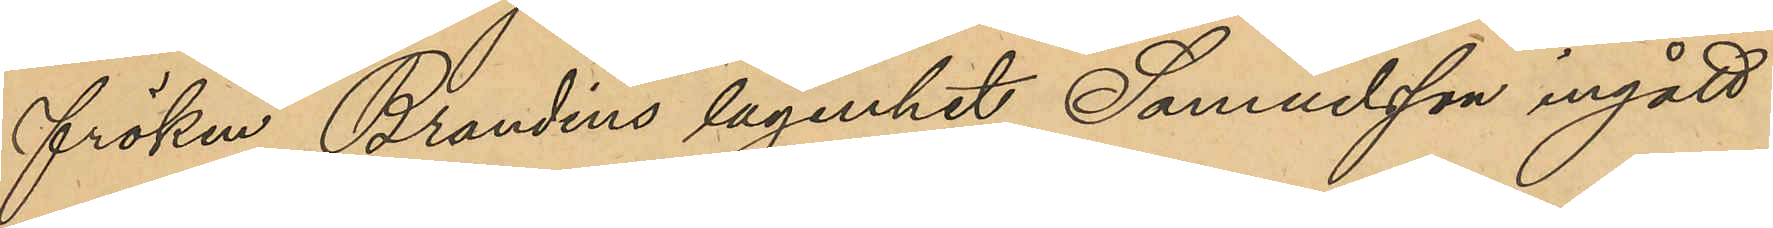fröken Brandins lägenhet, Samuelsson ingått
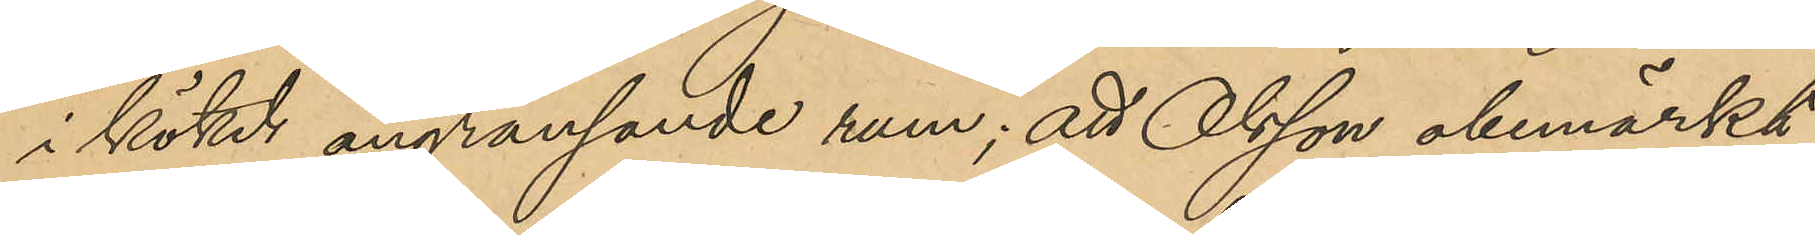i köket angränsande rum; att Olsson obemärkt
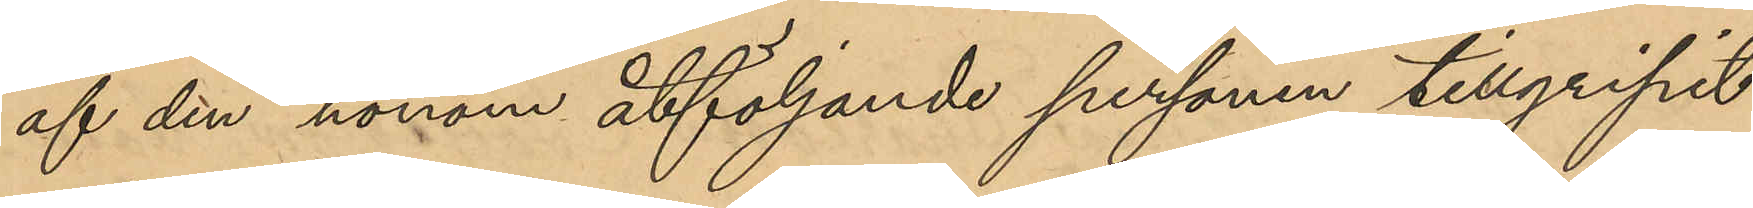af den honom åtföljande personen tillgripit
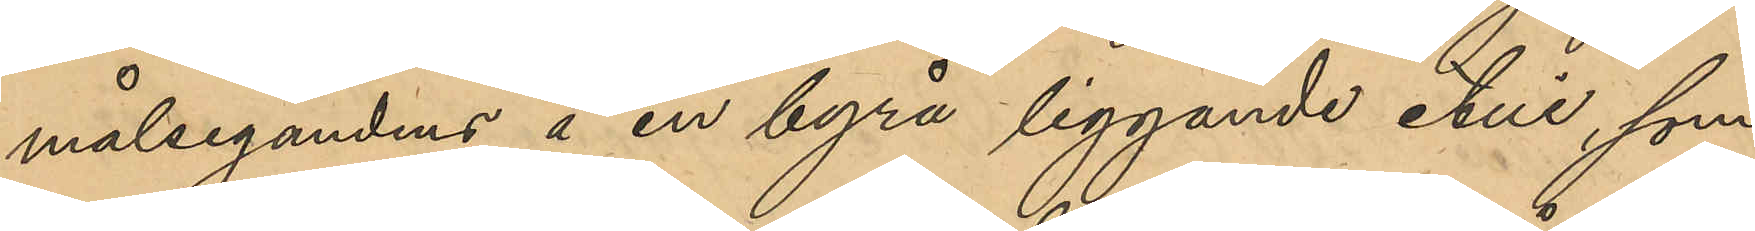målsegandens å en byrå liggande etui, som
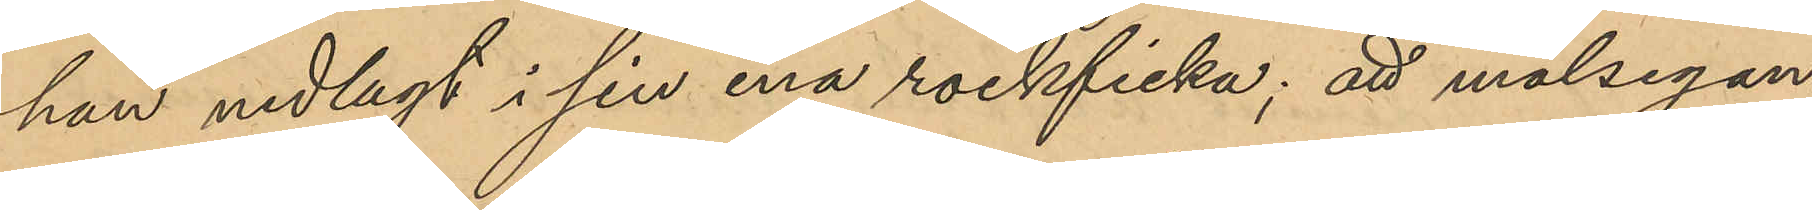han nedlagt i sin ena rockficka; att målsegan¬
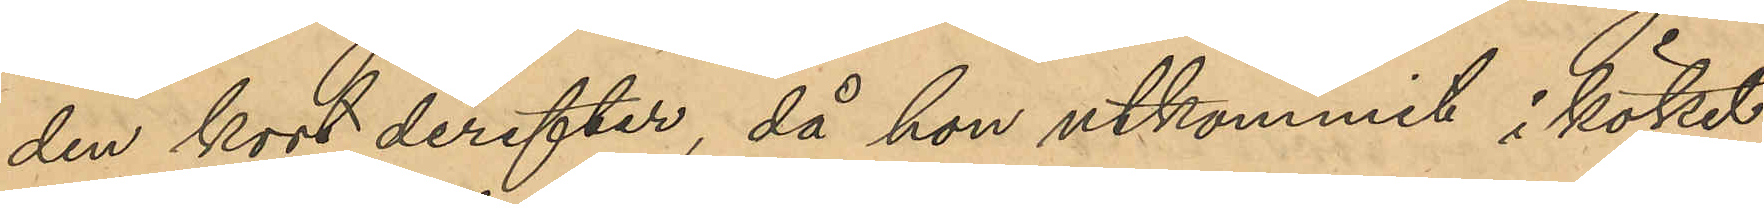den kort derefter, då hon utkommit i köket
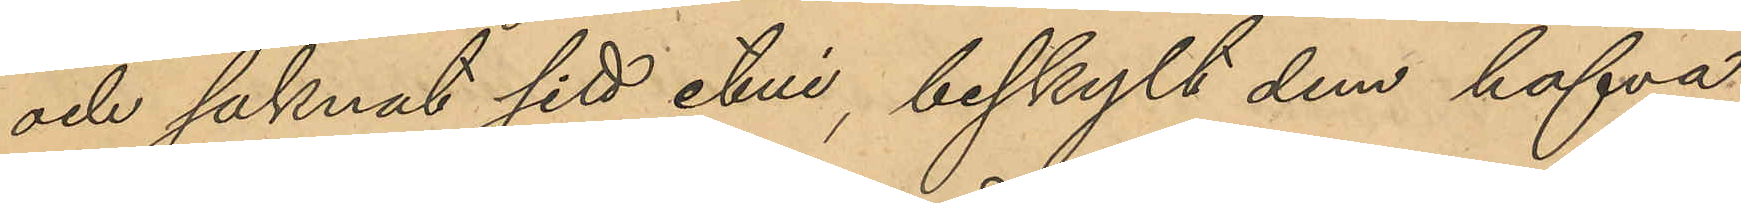och saknat sitt etui, beskyllt dem hafva
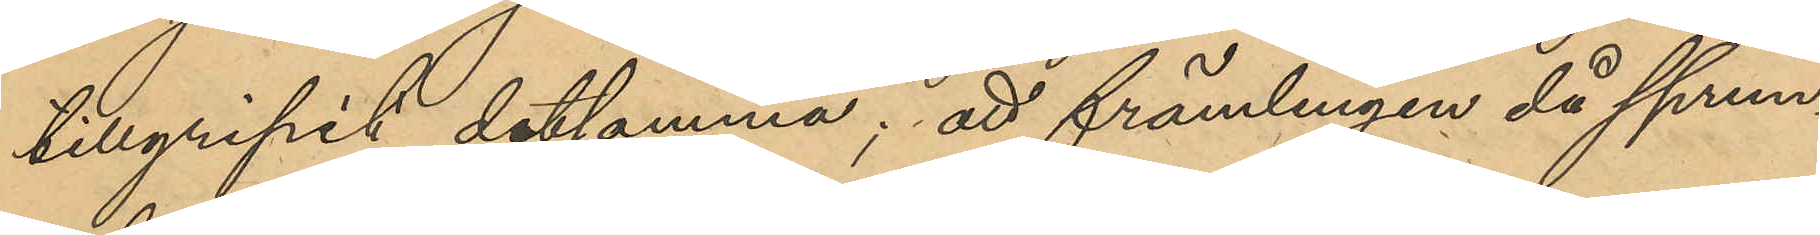tillgripit detsamma; att främlingen då sprun¬
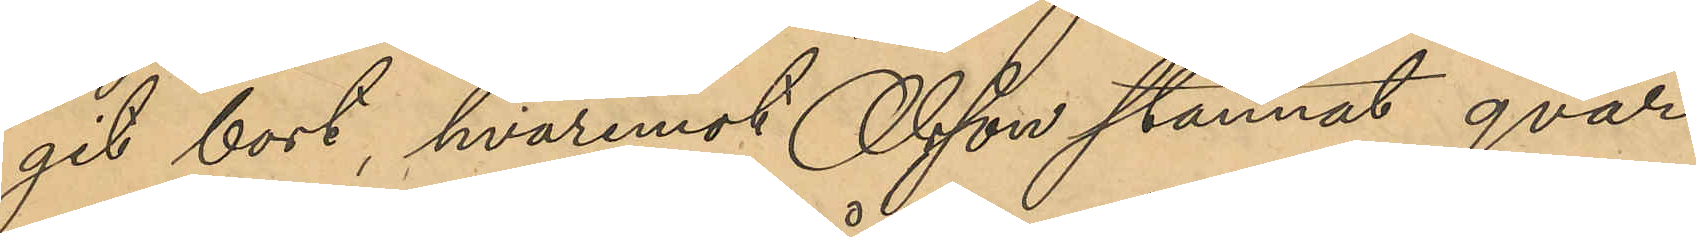git bort, hvaremot Olsson stannat qvar
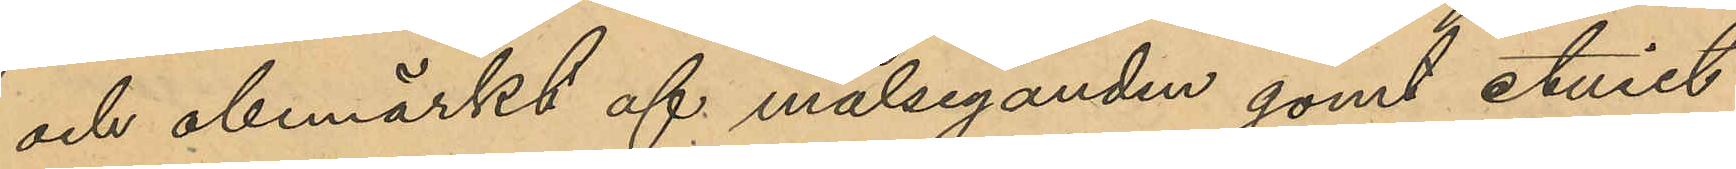och obemärkt af målseganden gömt etuiet
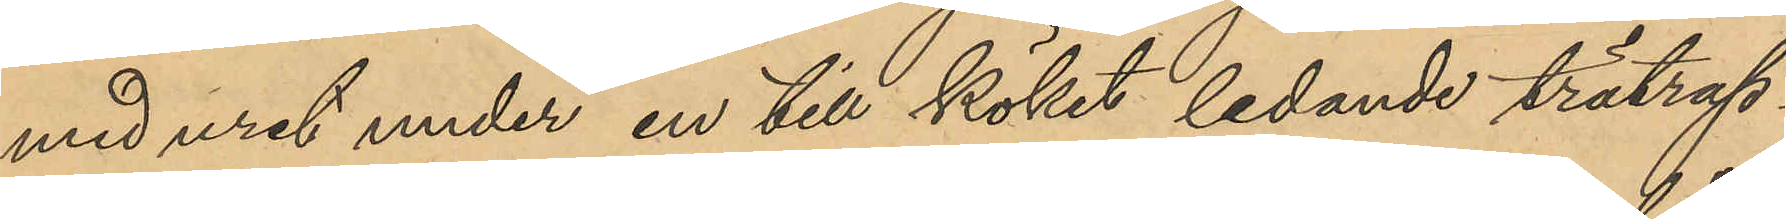med uret under en till köket ledande trätrap¬
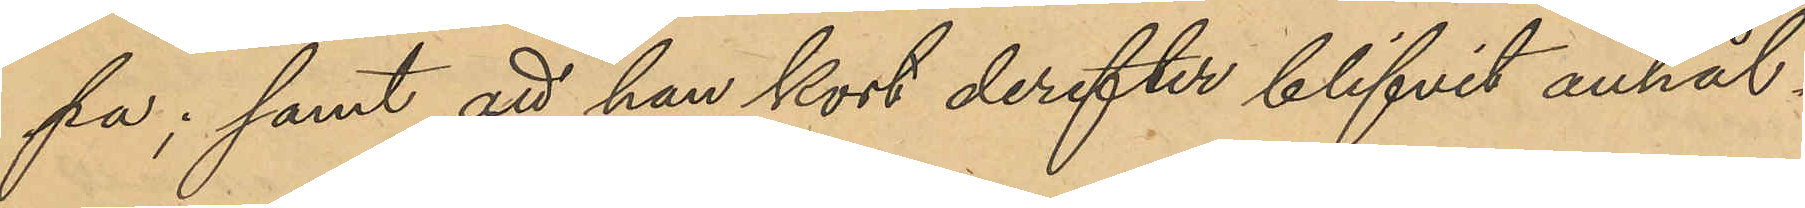pa; samt att han kort derefter blifvit anhål¬
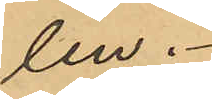len.
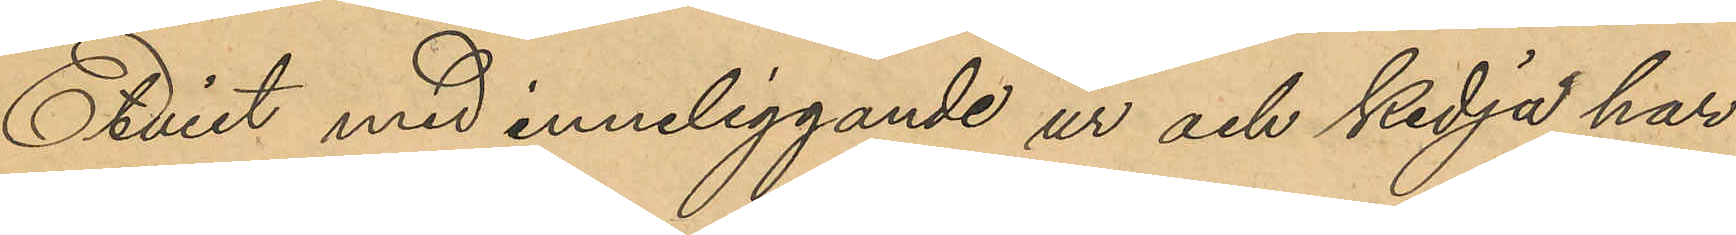Etuiet med inneliggande ur och kedja har
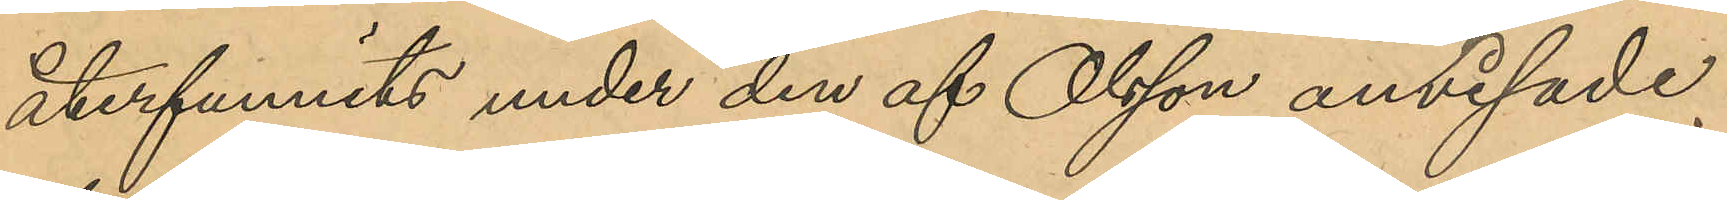återfunnits under den af Olsson anvisade
